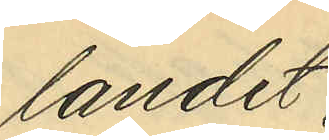landet,
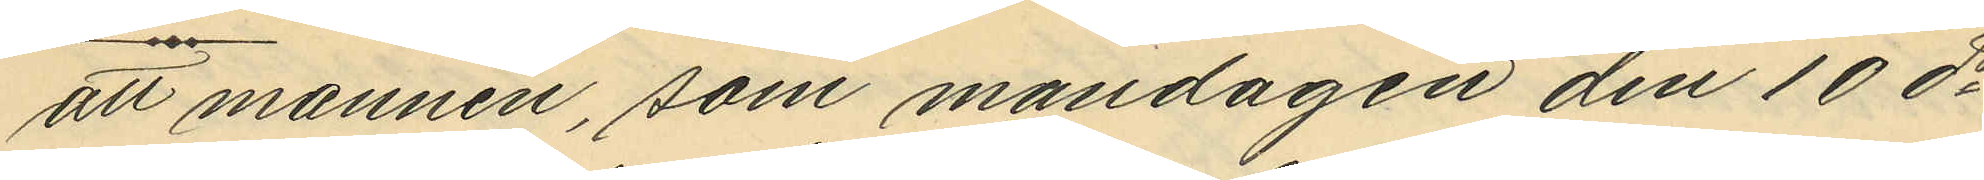att mannen, som måndagen den 10 ds
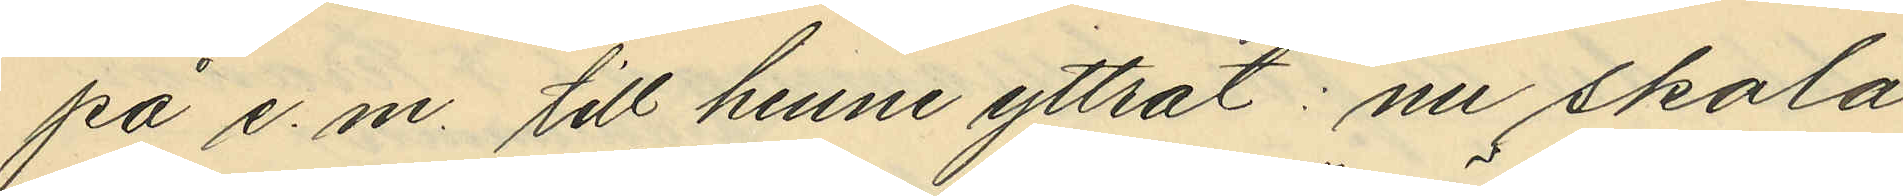på e. m. till henne yttrat: nu skola
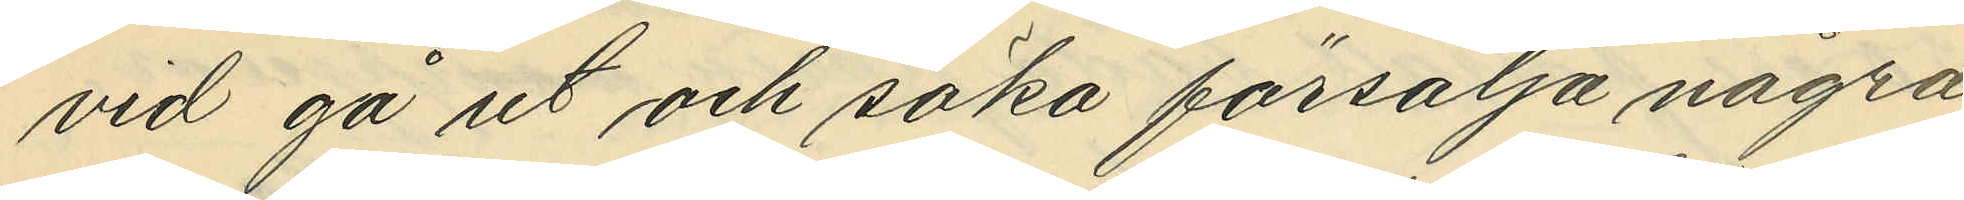vid gå ut och söka försälja några
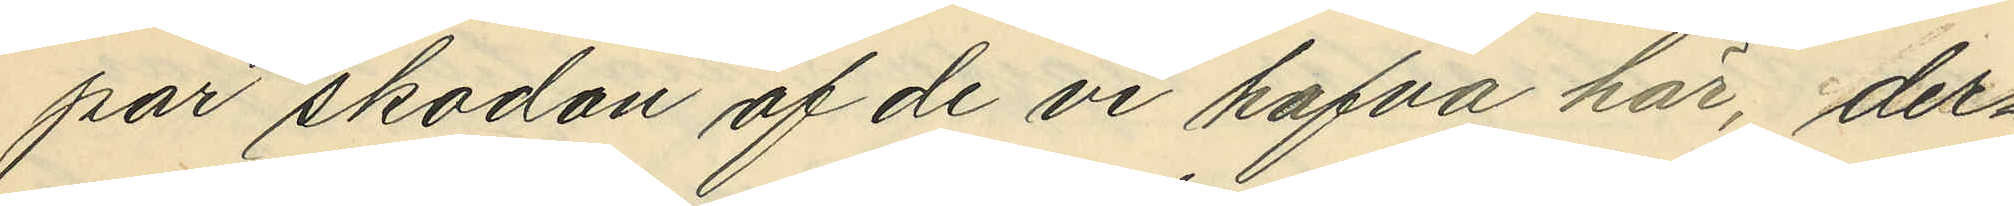par skodon af de vi hafva här, der¬
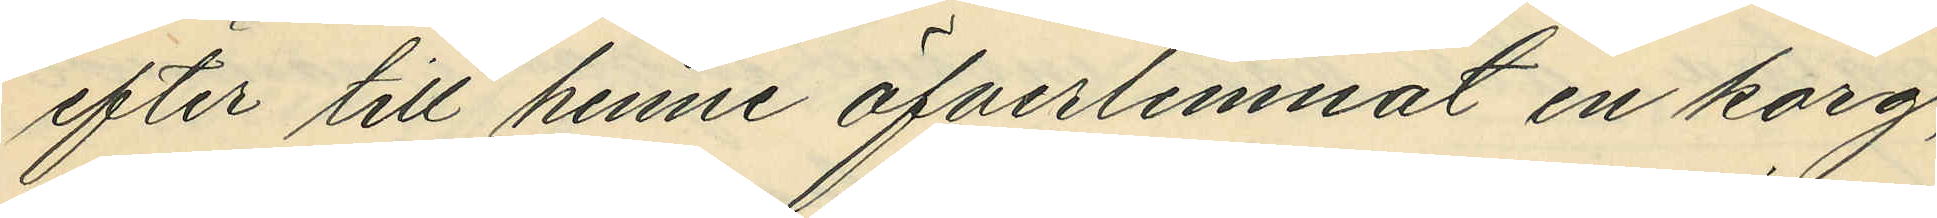efter till henne öfverlemnat en korg,
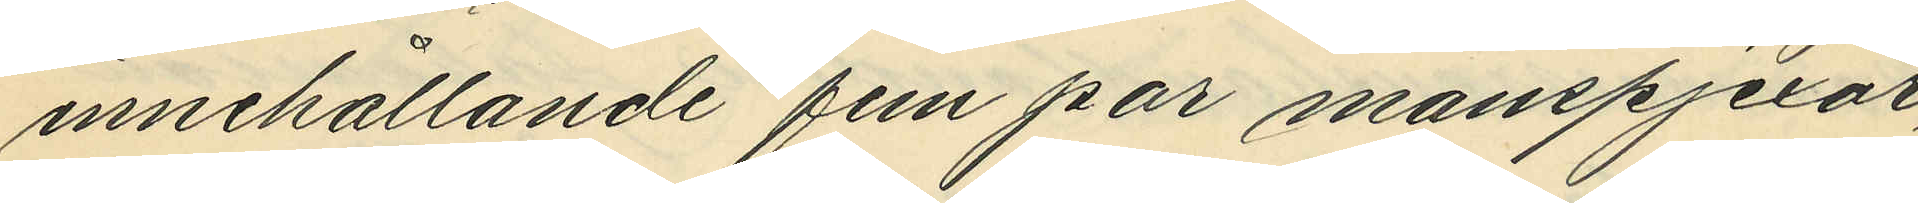innehållande fem par manspjexor,
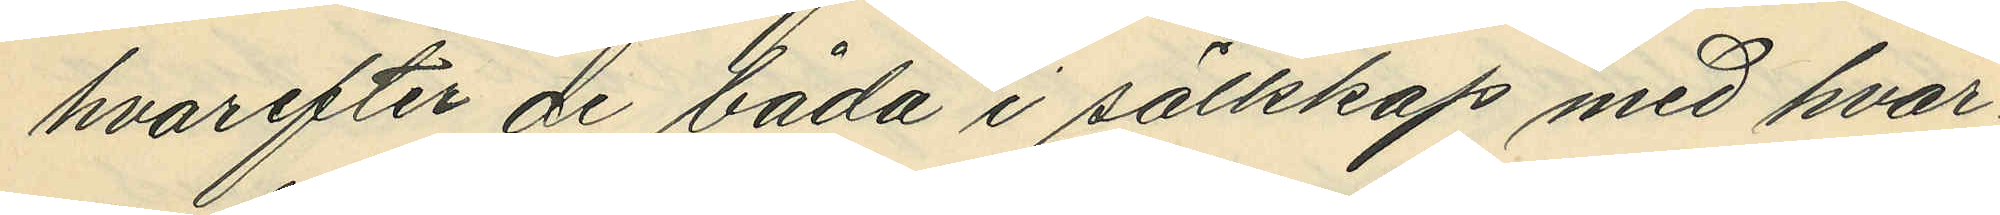hvarefter de båda i sällskap med hvar¬
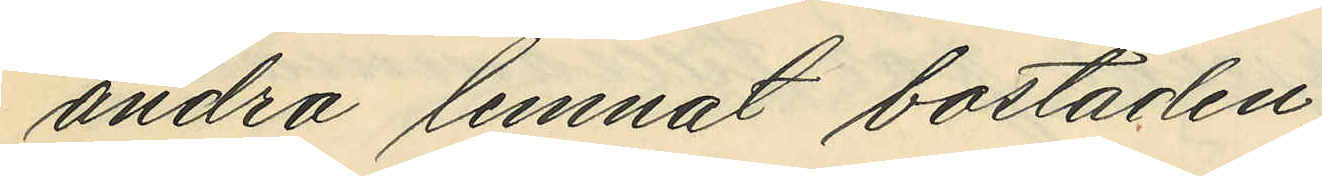andra lemnat bostaden;
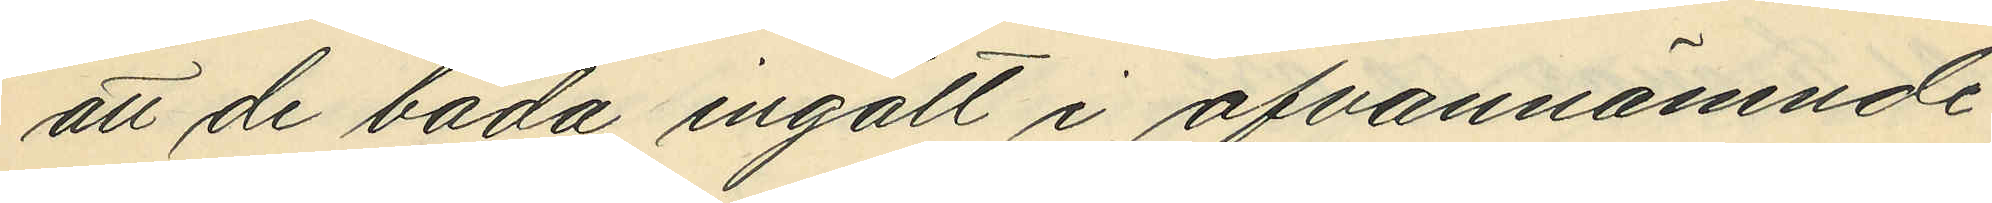att de båda ingått i ofvannämnde
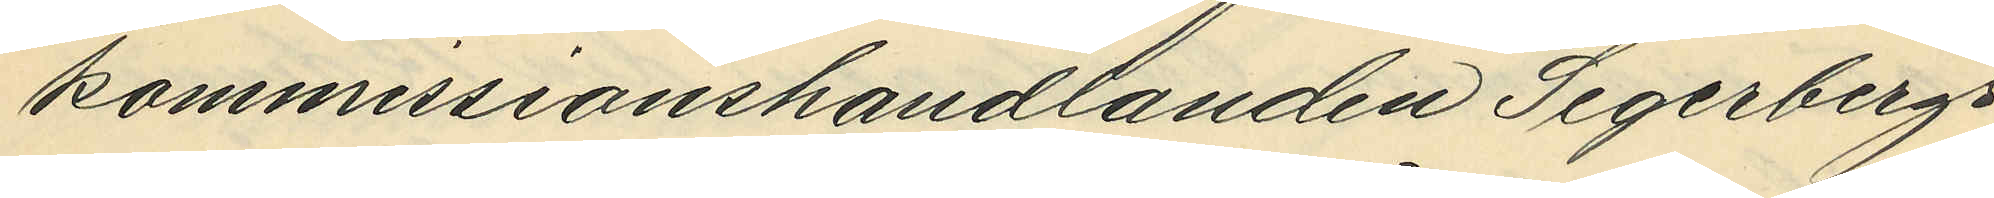kommissionshandlanden Segerbergs
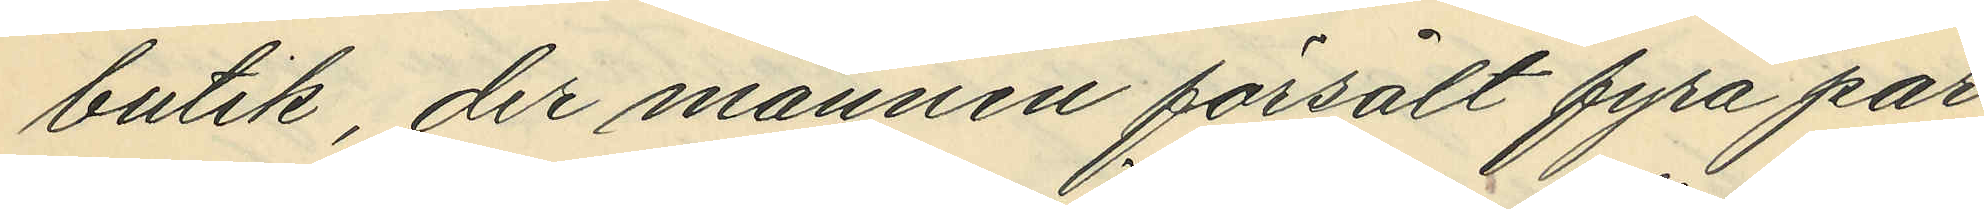butik, der mannen försålt fyra par
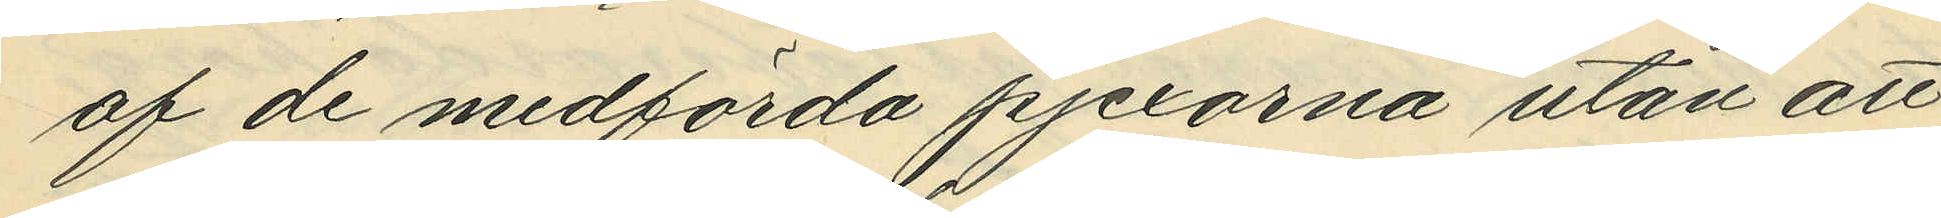af de medförda pjexorna utan att
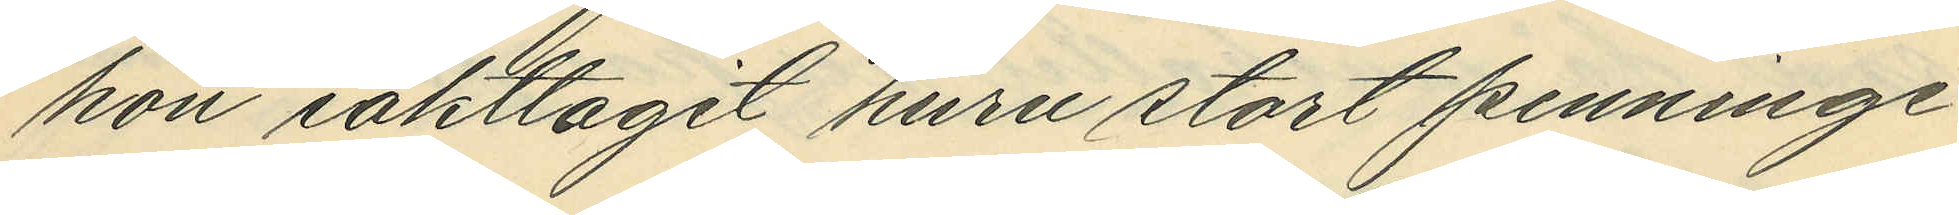hon iakttagit huru stort penninge¬
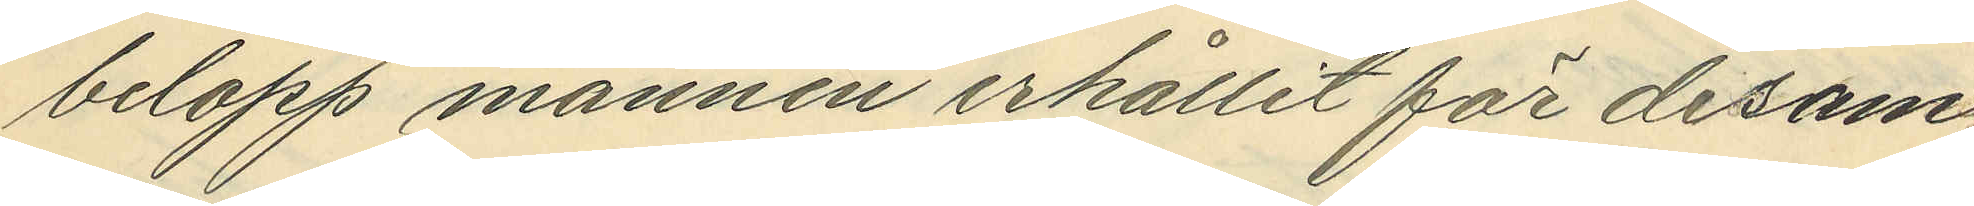belopp mannen erhållit för desam¬
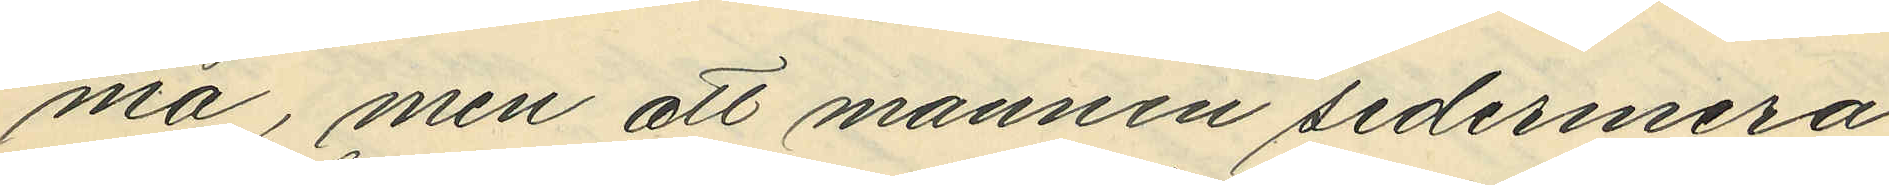ma, men att mannen sedermera
